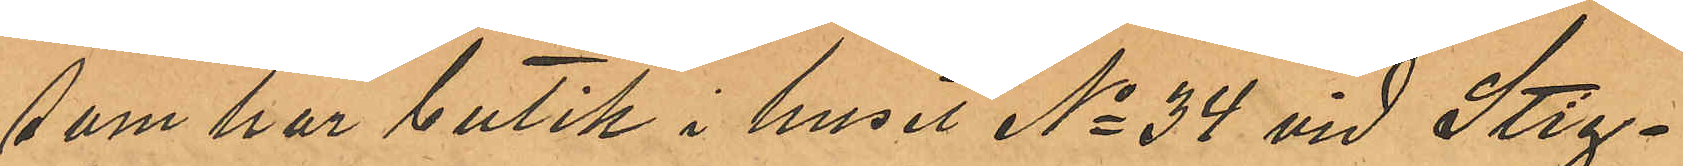som har butik i huset No 34 vid Stig¬
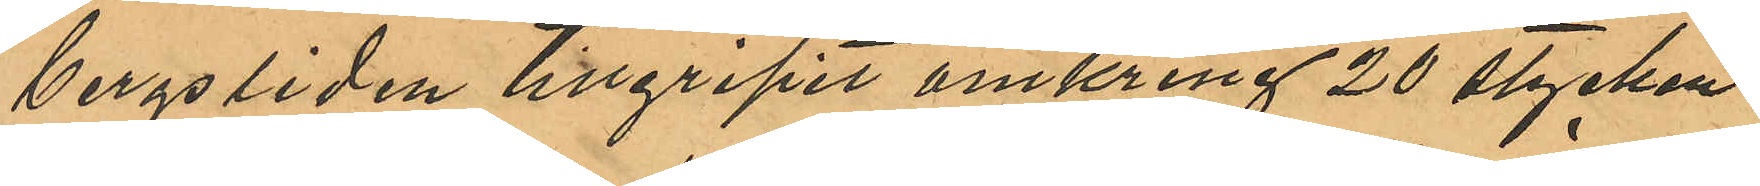bergsliden tillgripit omkring 20 stycken
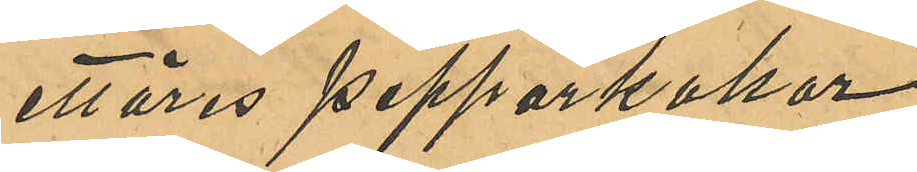ettöres pepparkakor
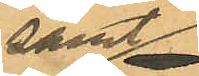samt
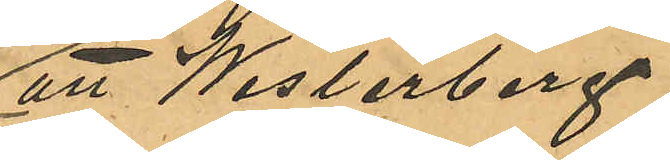att Westerberg
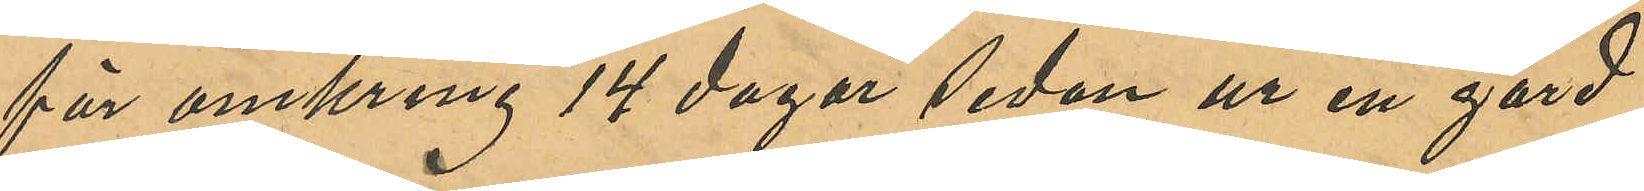för omkring 14 dagar sedan ur en gård
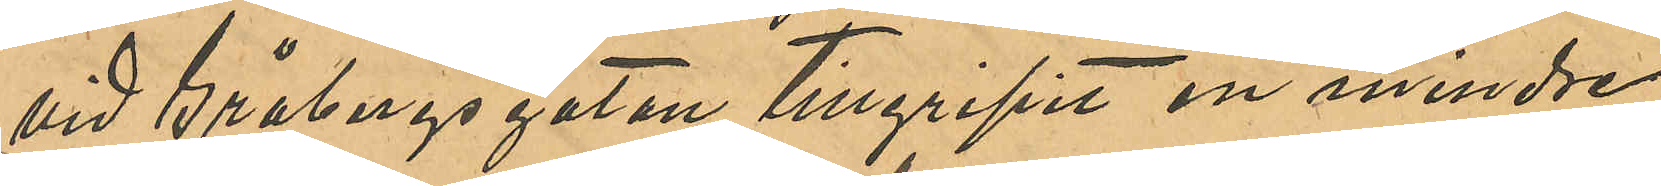vid Gråbergsgatan tillgripit en mindre
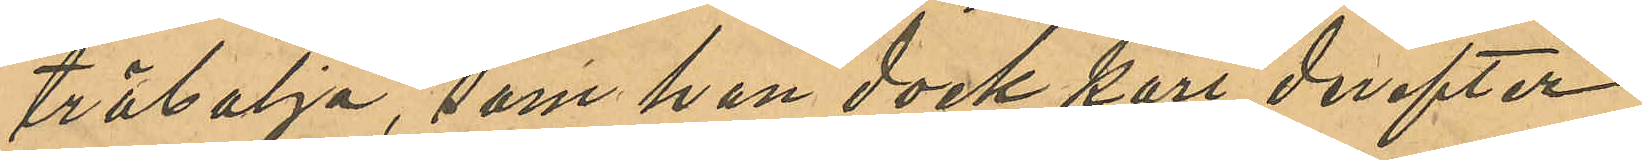träbalja, som han dock kort derefter
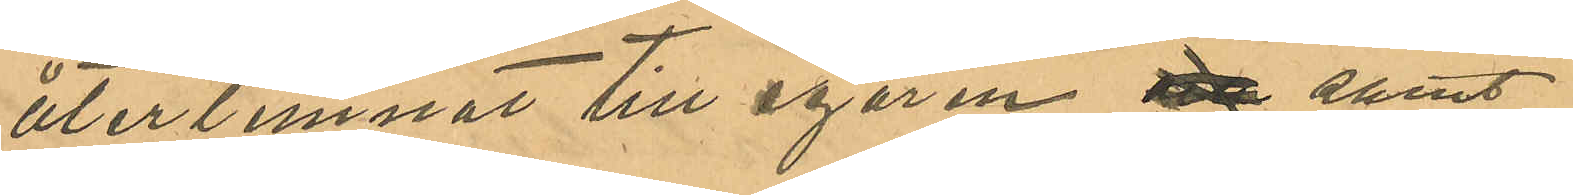återlemnat till egaren samt
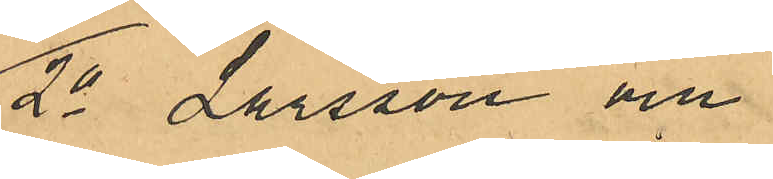2o Larsson och
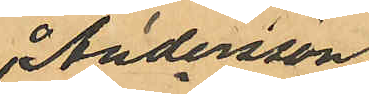Andersson
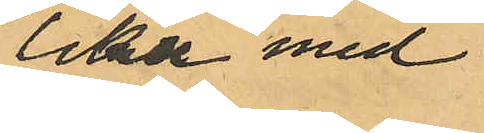lika med
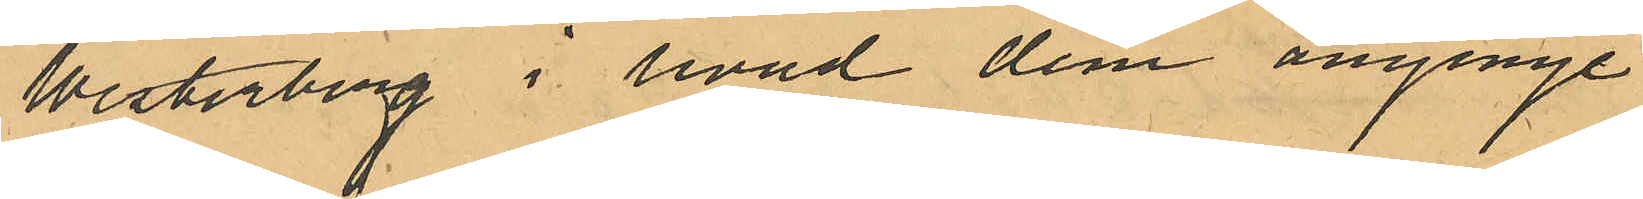Westerberg i hvad dem anginge
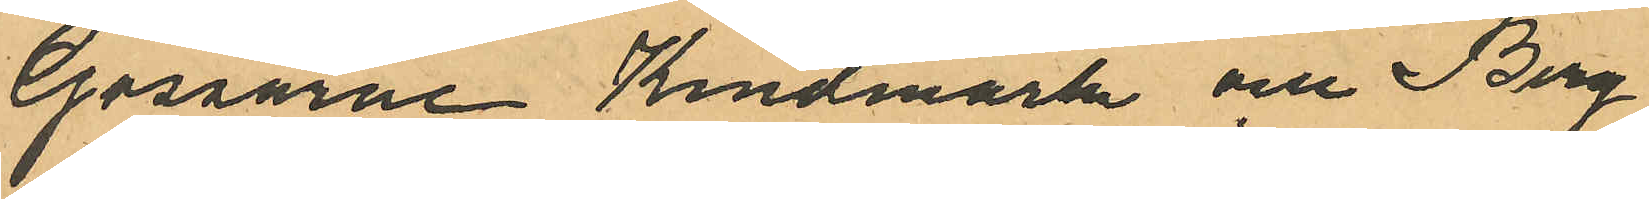Gossarne Kindmark och Berg
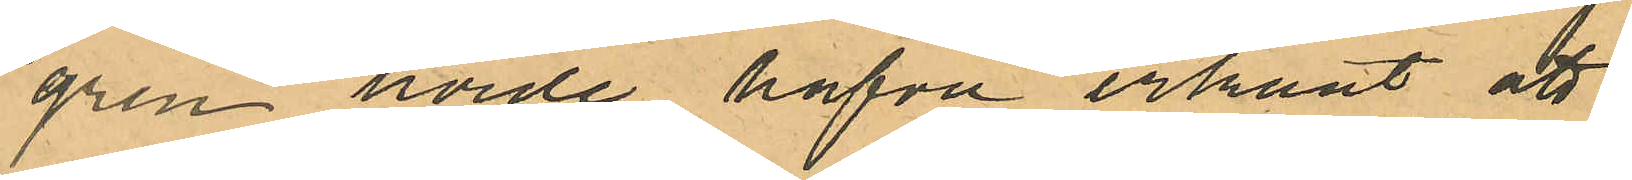gren hörde hafva erkänt att
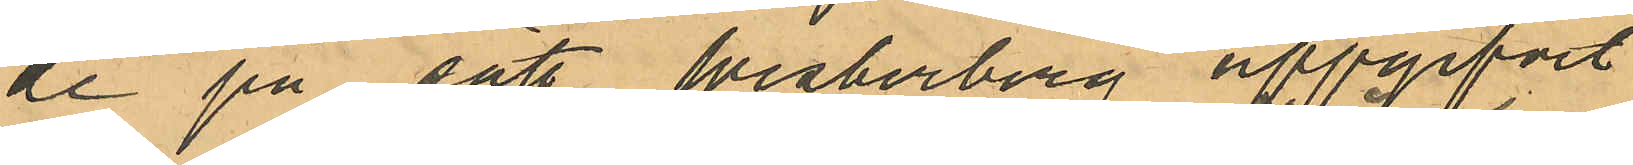de på sätt Westerberg uppgifvit
